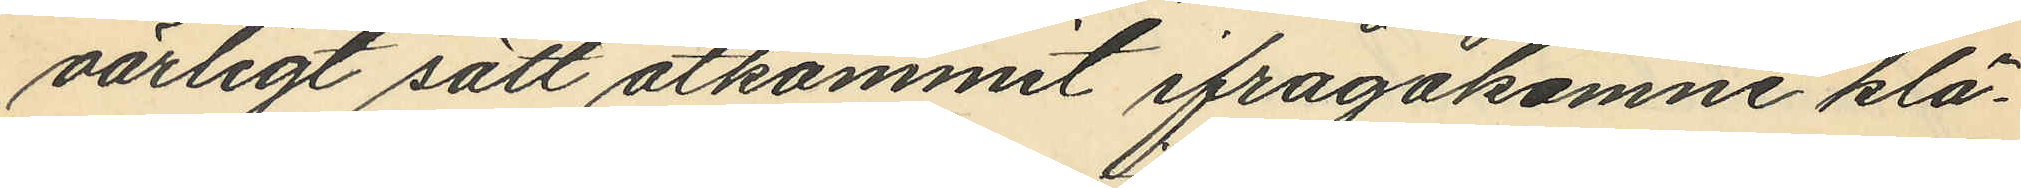oärligt sätt åtkommit ifrågakomne klä¬
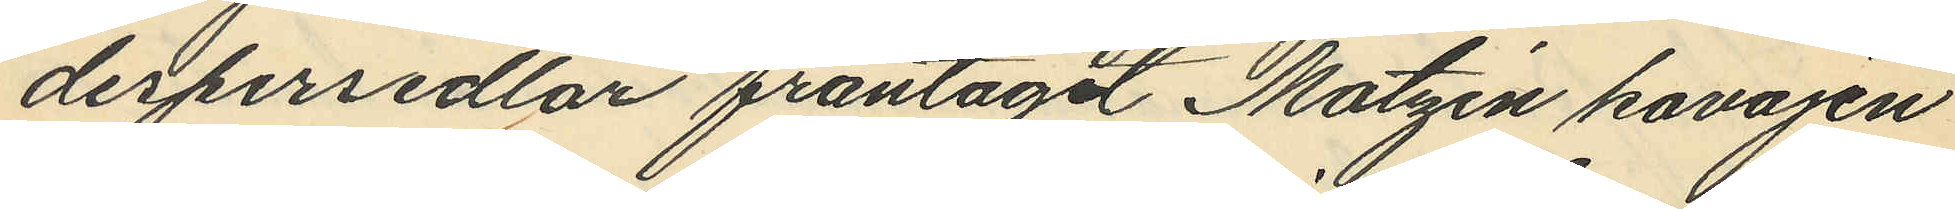despersedlar fråntagit Matzén kavajen
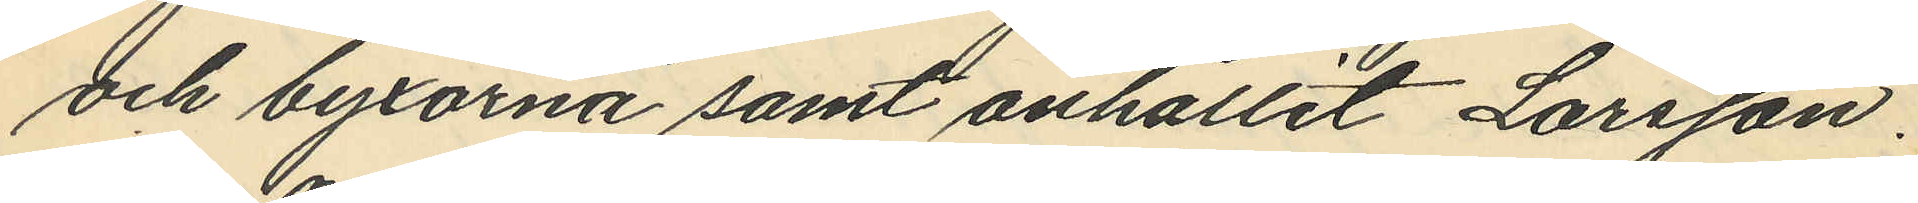och byxorna samt anhållit Larsson.
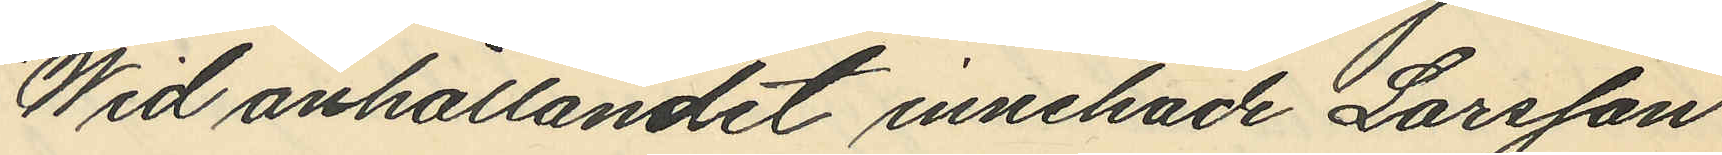Wid anhållandet innehade Larsson
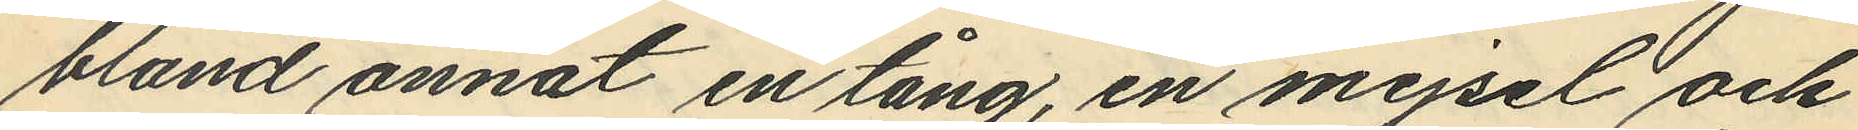bland annat en tång, en mejsel och
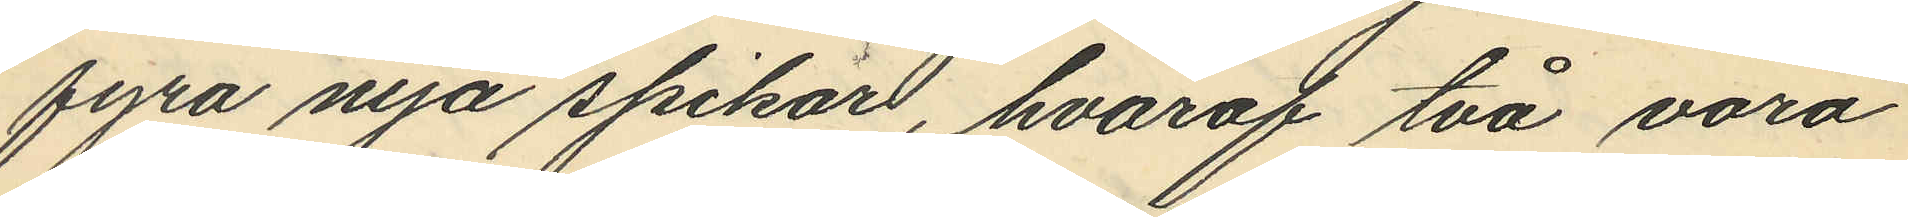fyra nya spikar, hvaraf två voro
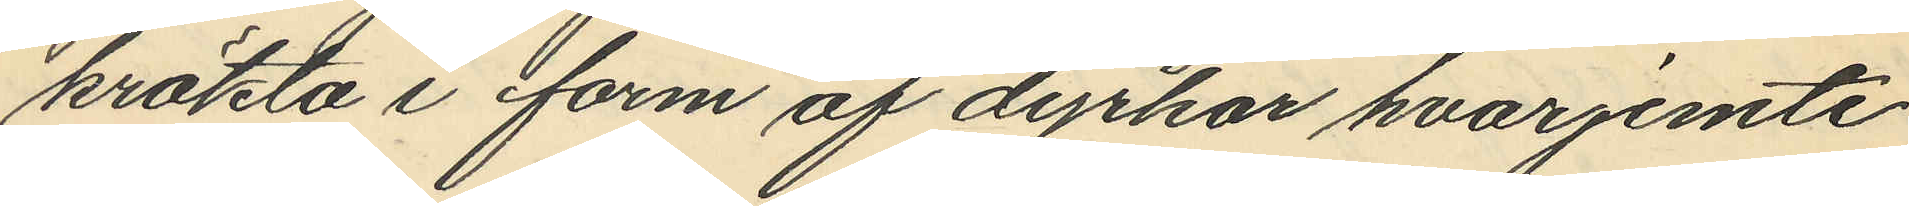krökta i form af dyrkar hvarjemte
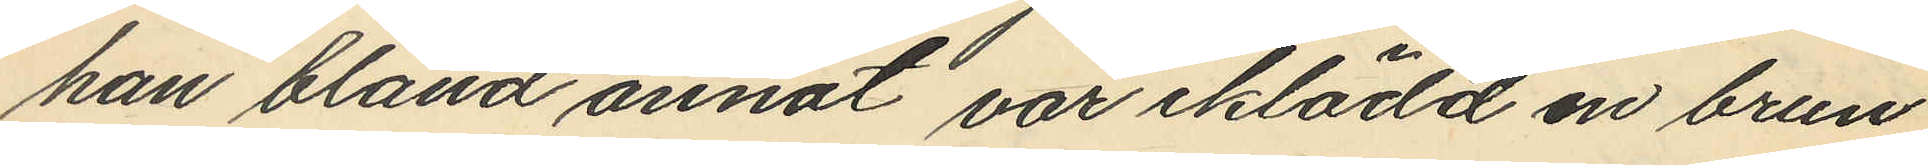han bland annat var iklädd en brun
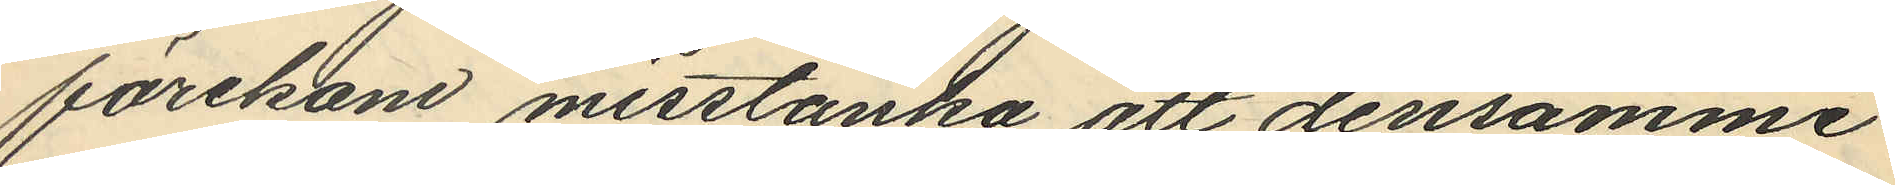förekom misstänka att densamme
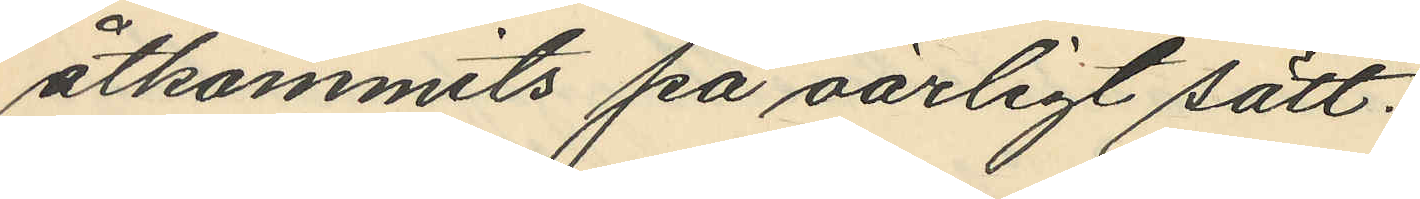åtkommits på oärligt sätt.
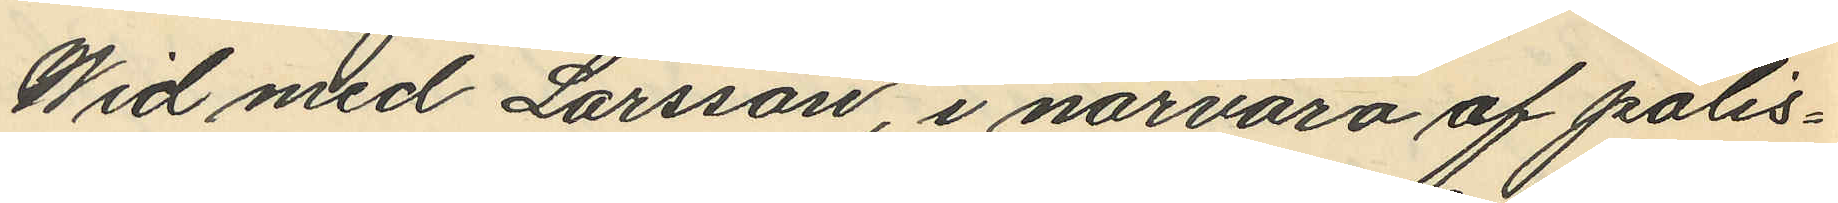Wid med Larsson, i närvaro af polis¬
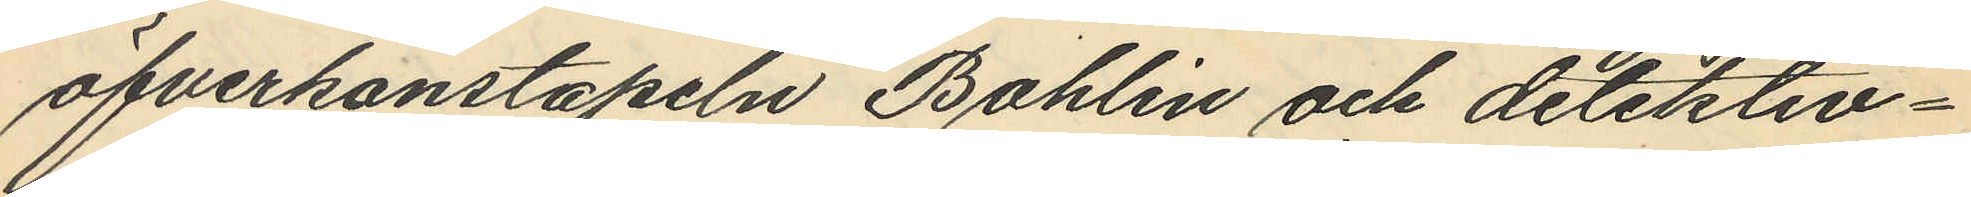öfverkonstapeln Bohlin och detektiv¬
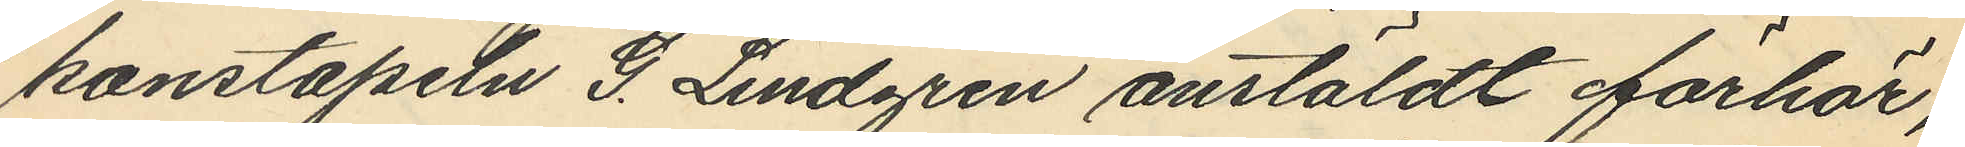konstapeln G. Lindgren anstäldt förhör,
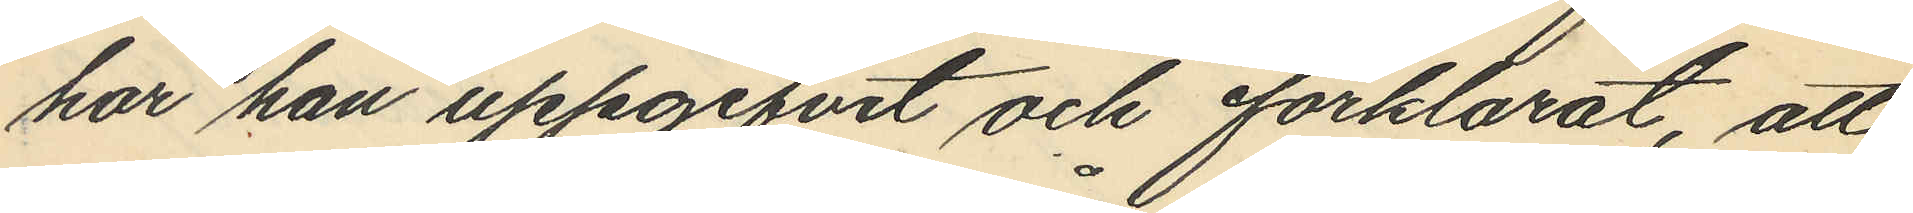har han uppgifvit och förklarat, att
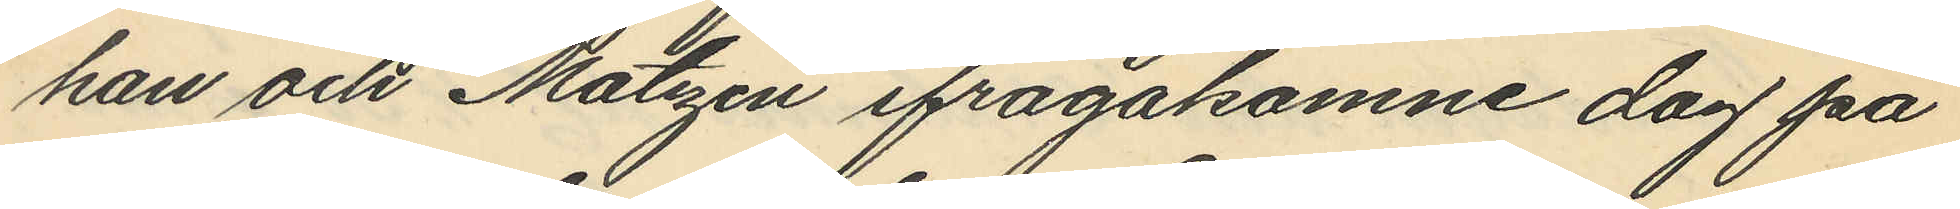han och Matzén ifrågakomne dag på
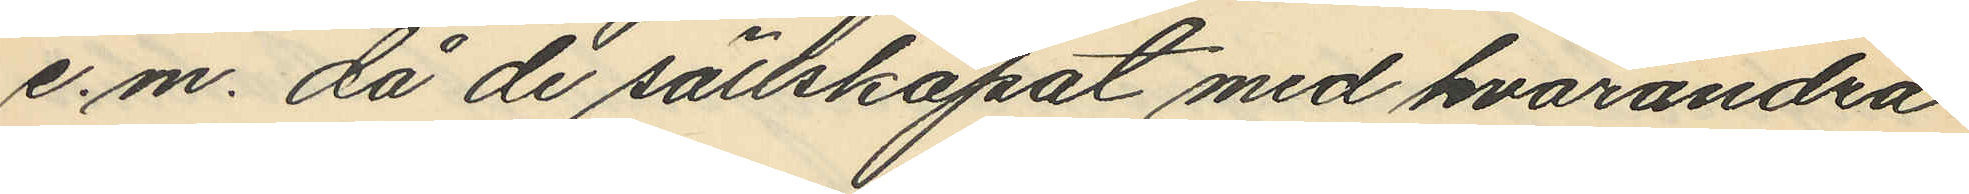e.m. då de sällskapat med hvarandra
